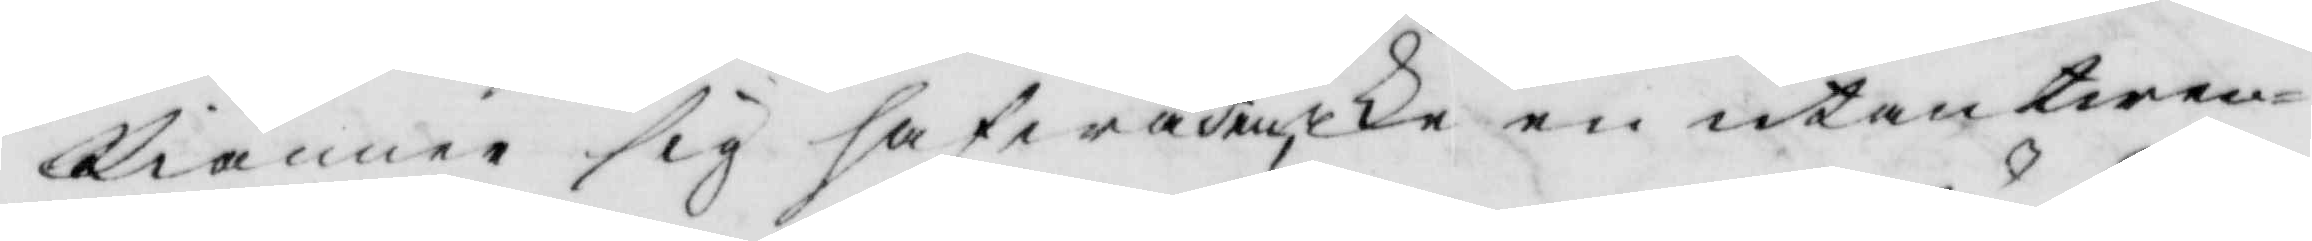kiänna sig hafwa den icke en utan twen¬
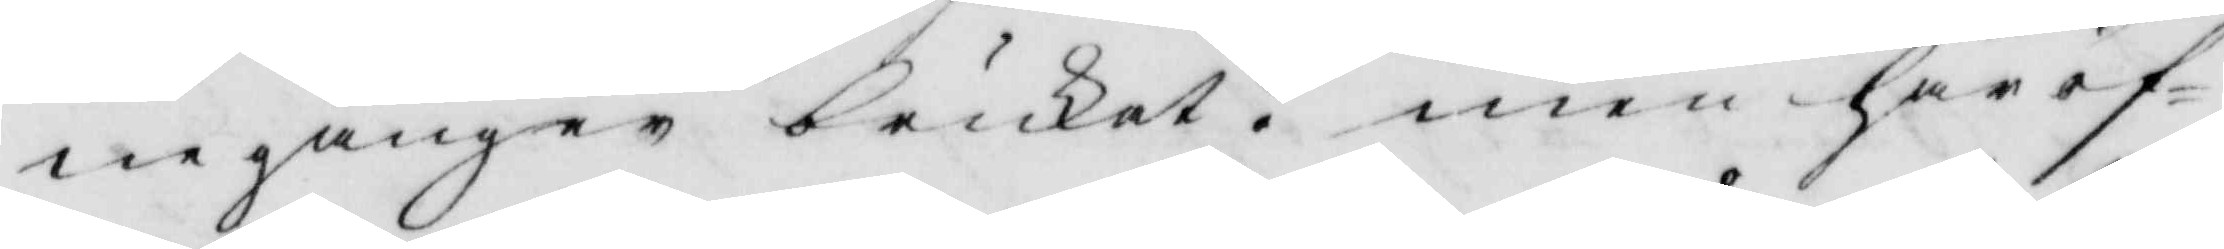ne gånger brukat? men häröf¬
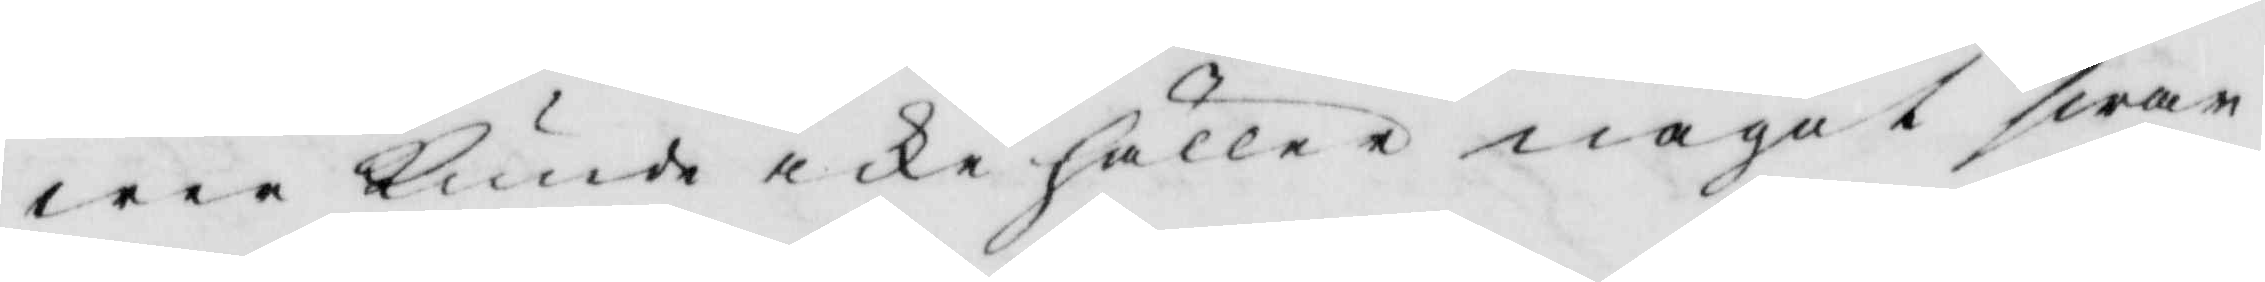wer kunde icke häller något swar
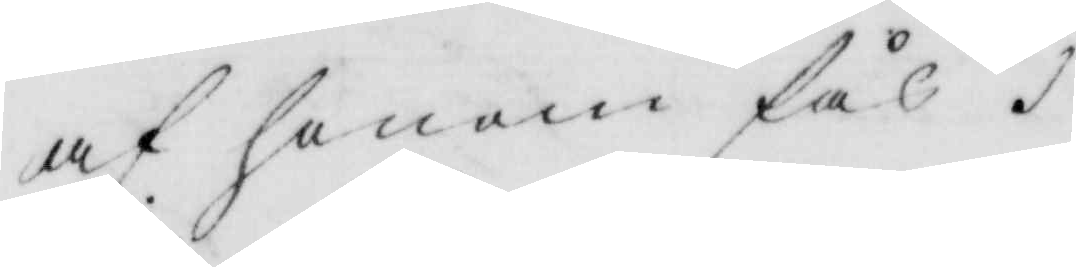af honom fås.
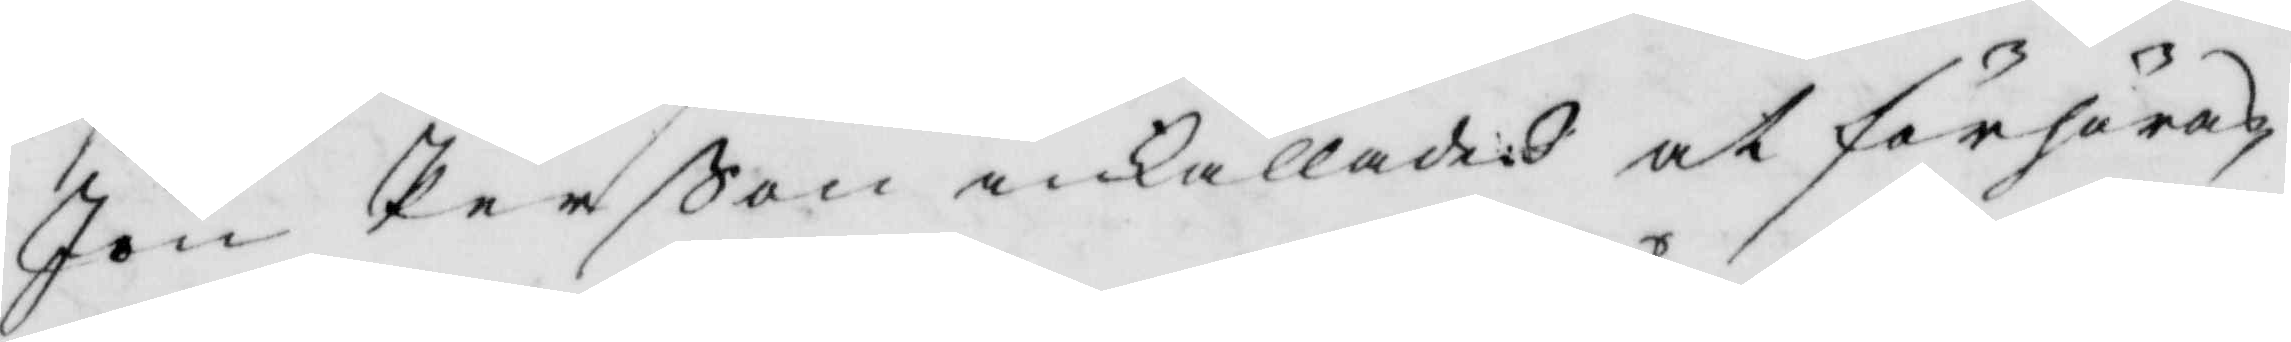Jon Perßon inkallades at förhöras
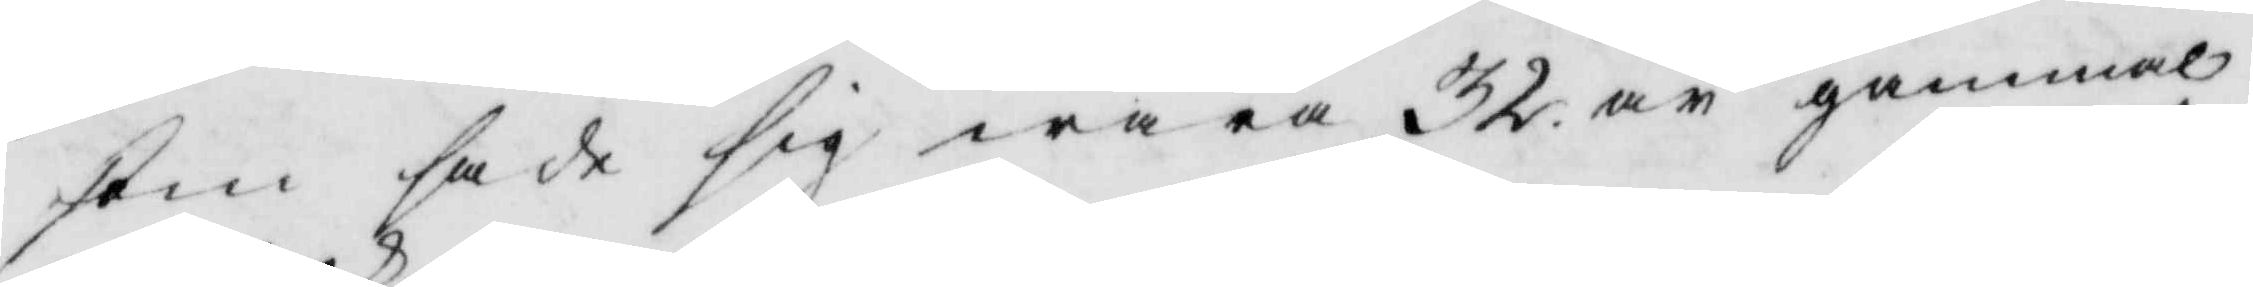som sade sig wara 32 år gammal
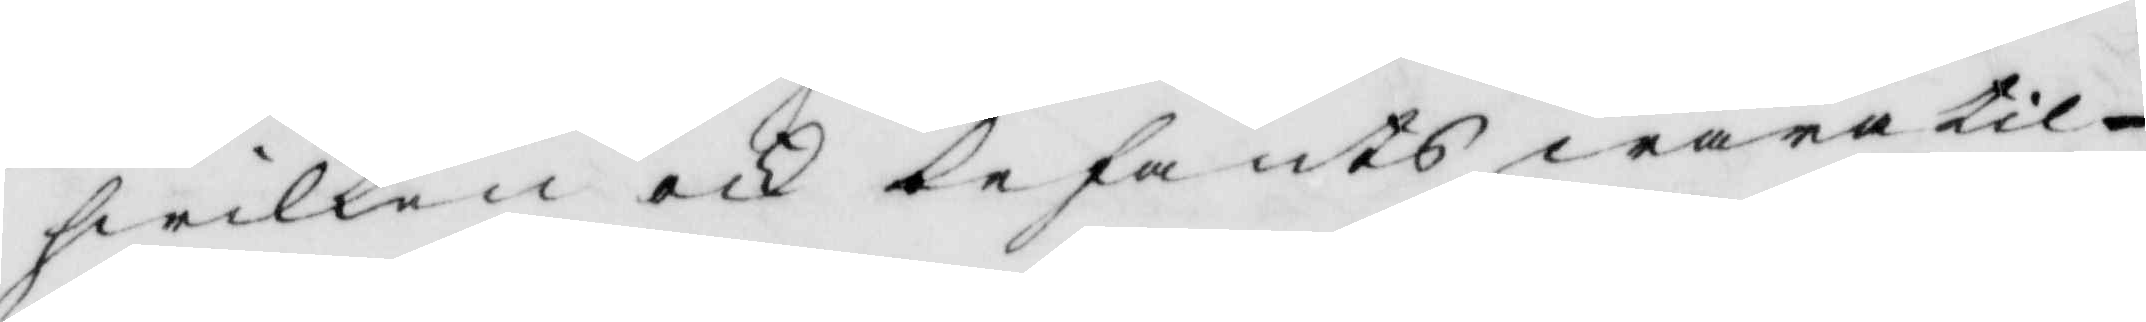hwilken och befants wara til
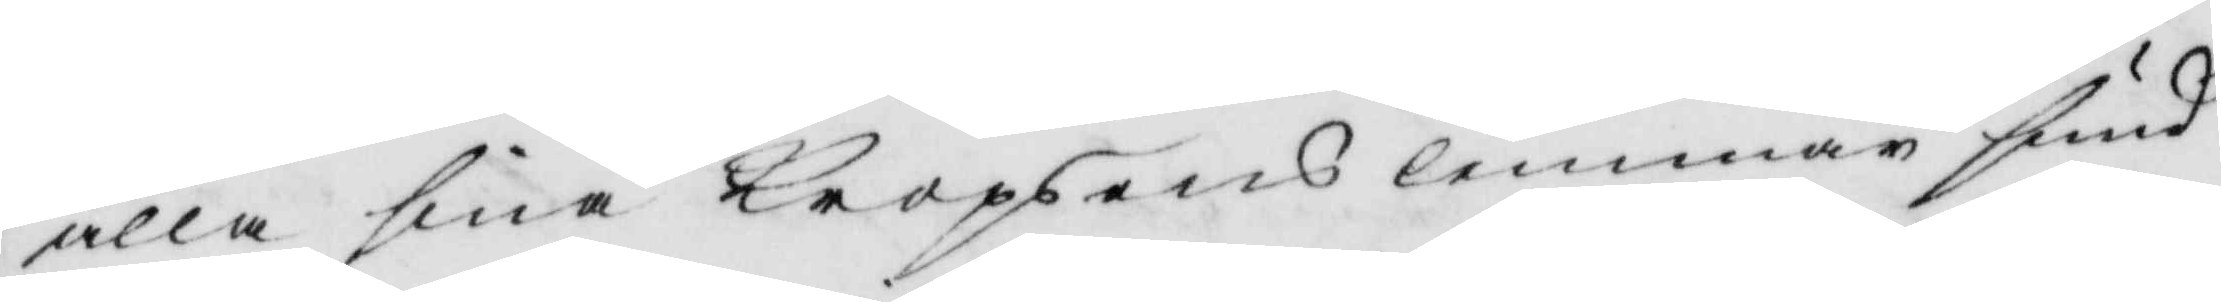alla sina kropsens lemmar sund
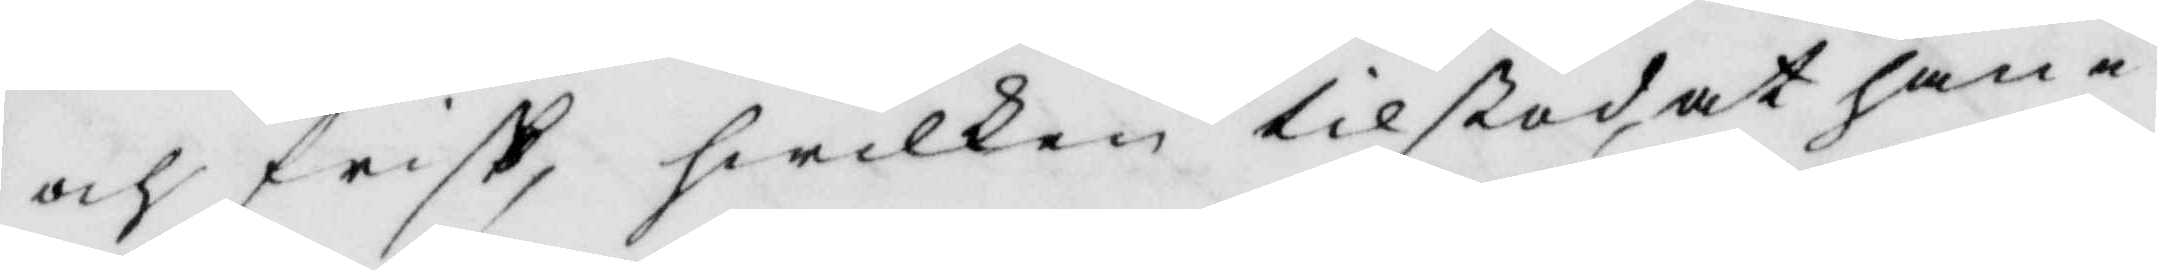och frisk, hwilken tilstod at han i
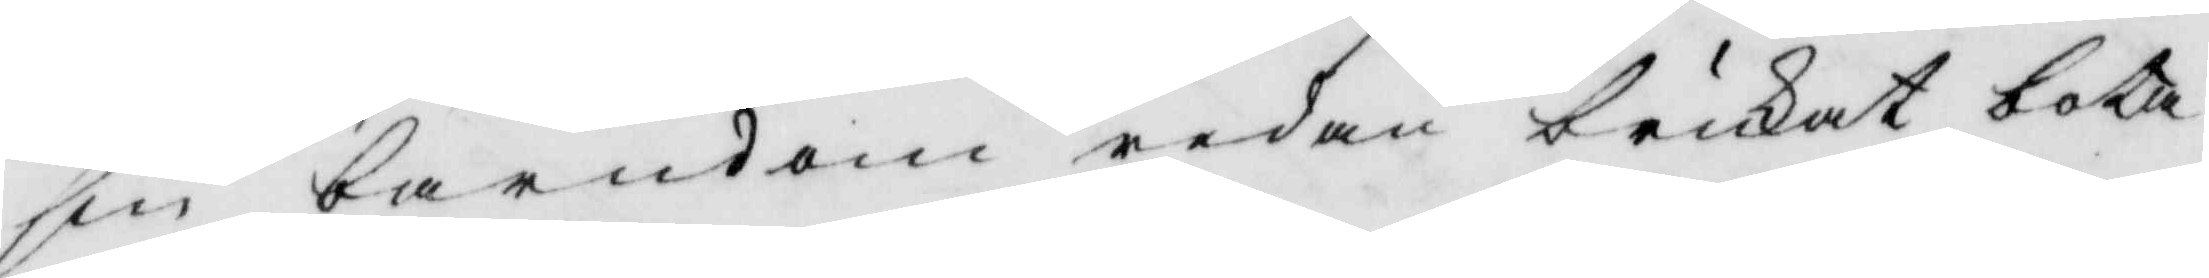sin barndom redan brukat bota
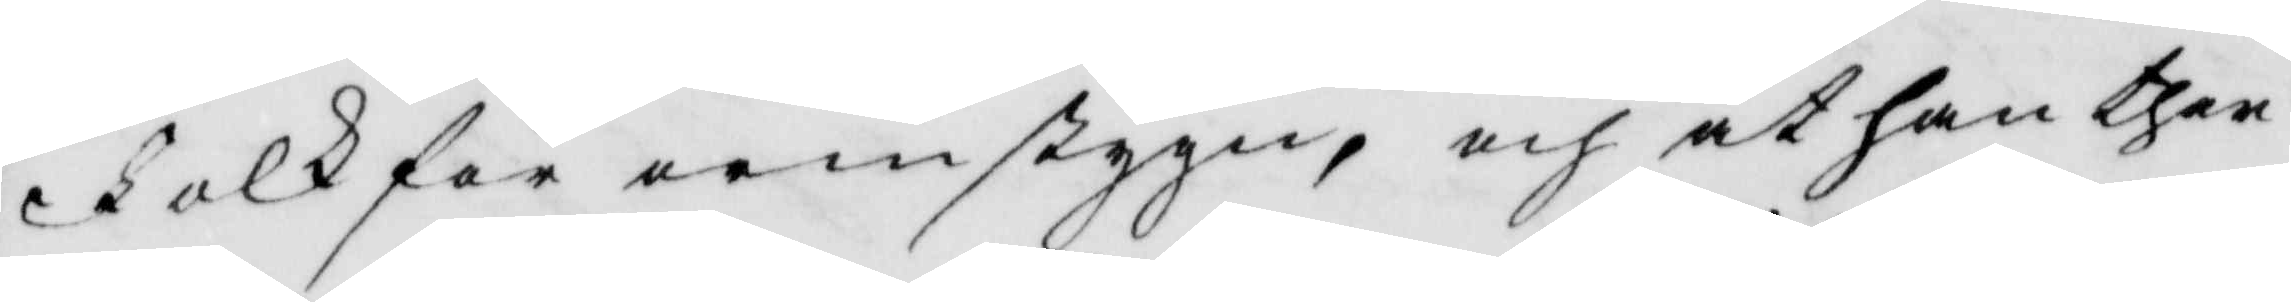Folk för remstygn, och at han ther
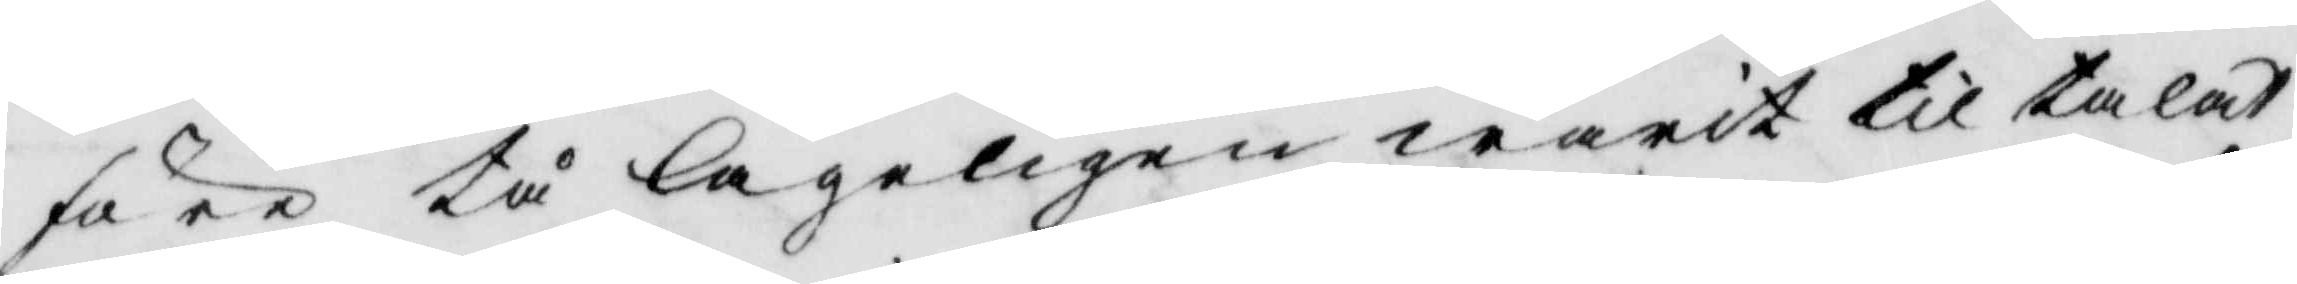före tå lageligen warit tilltalat
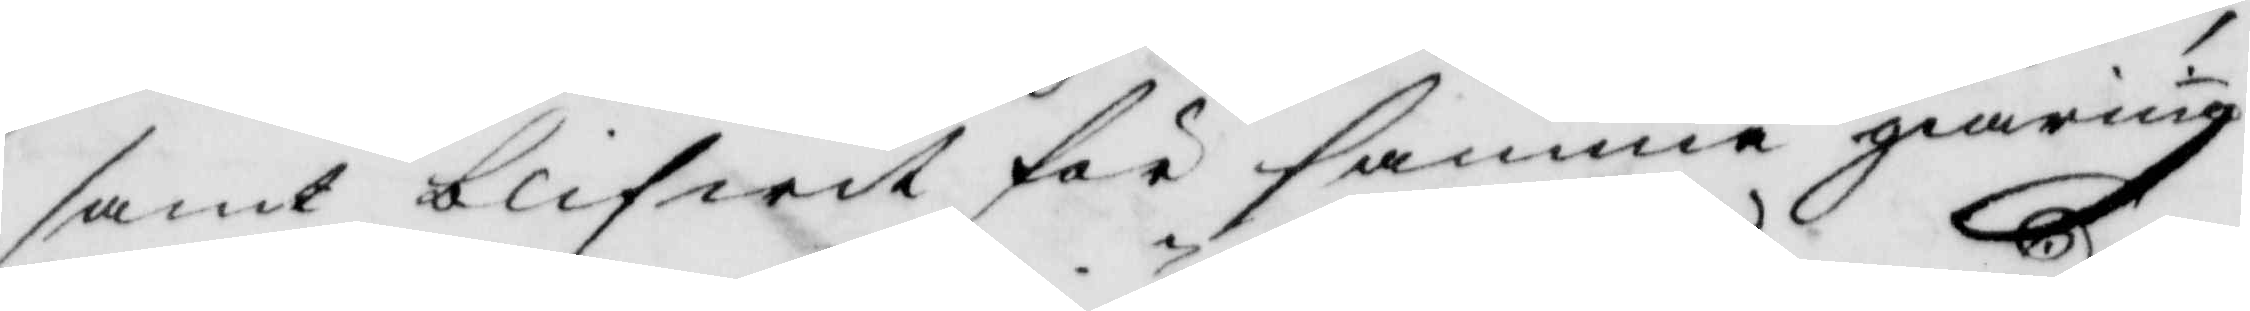samt blifwit för samma giärning
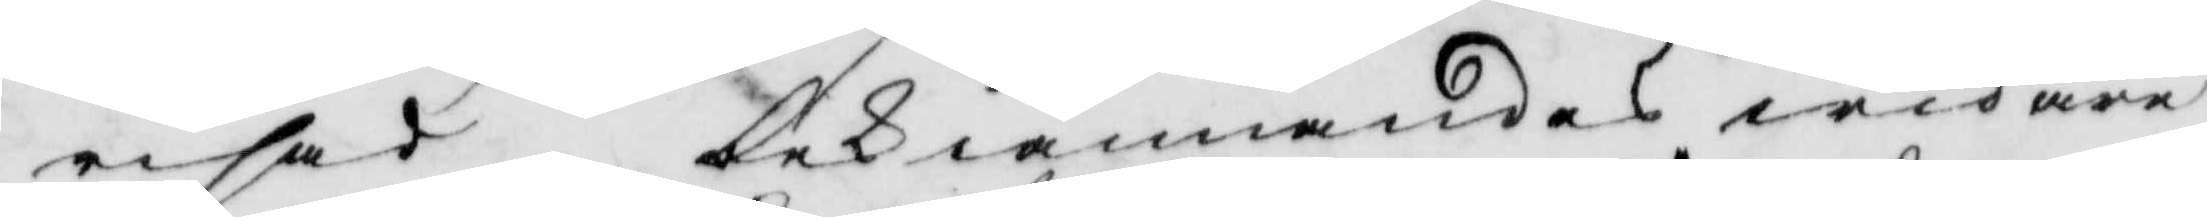risad, bekiännandes widare
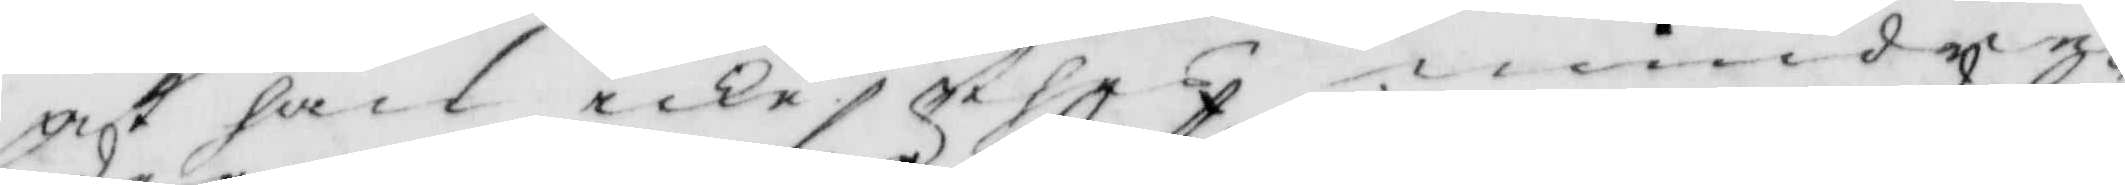at han icke thes mindre
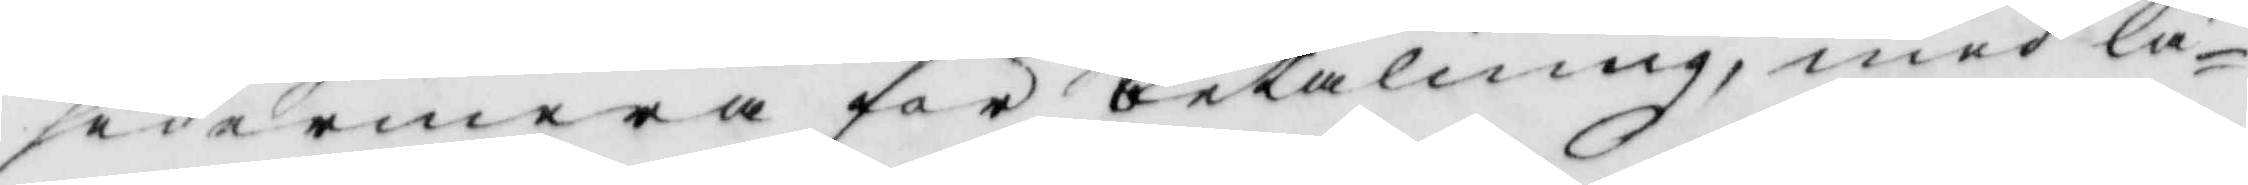sedermera för betalning, med lä¬
